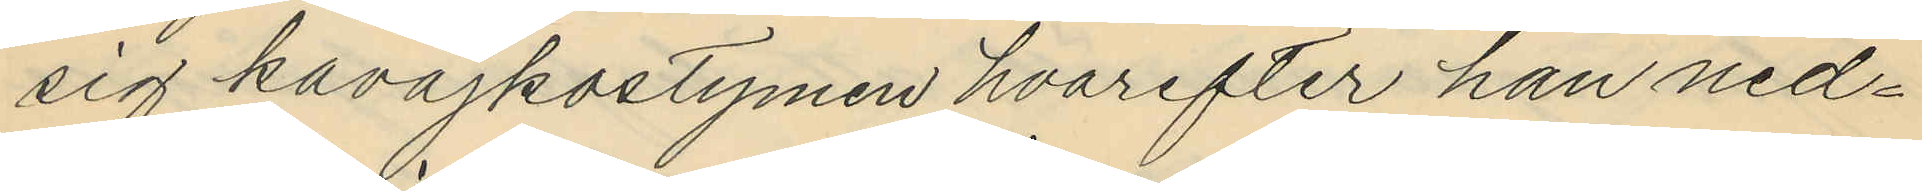sig kavajkostymen hvarefter han ned¬
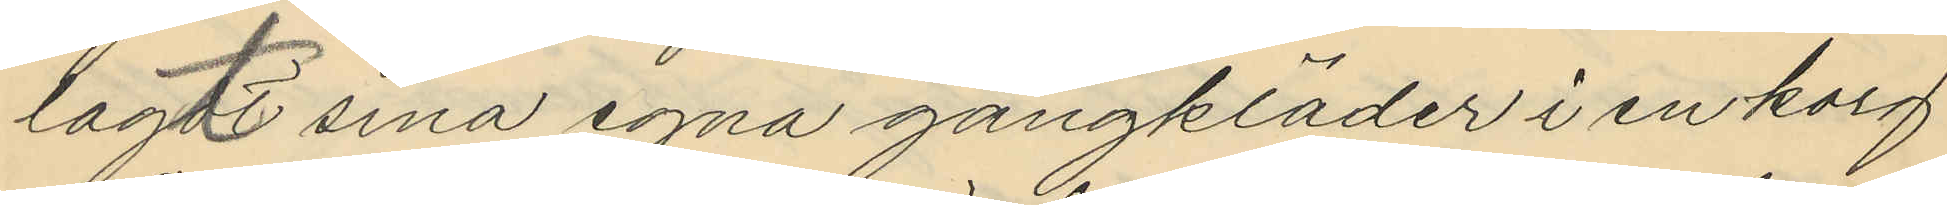lagt sina egna gångkläder i en korg
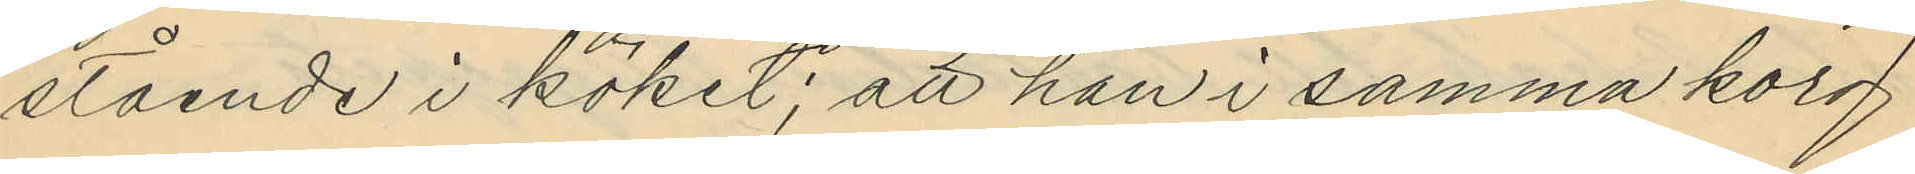stående i köket; att han i samma korg
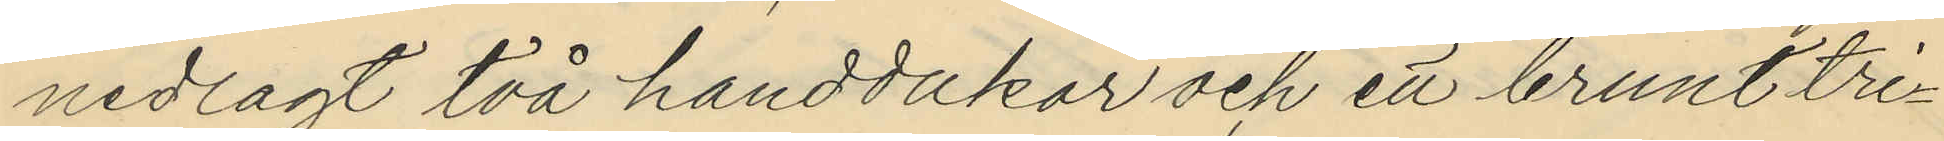nedlagt två handdukar och ett brunt tri¬
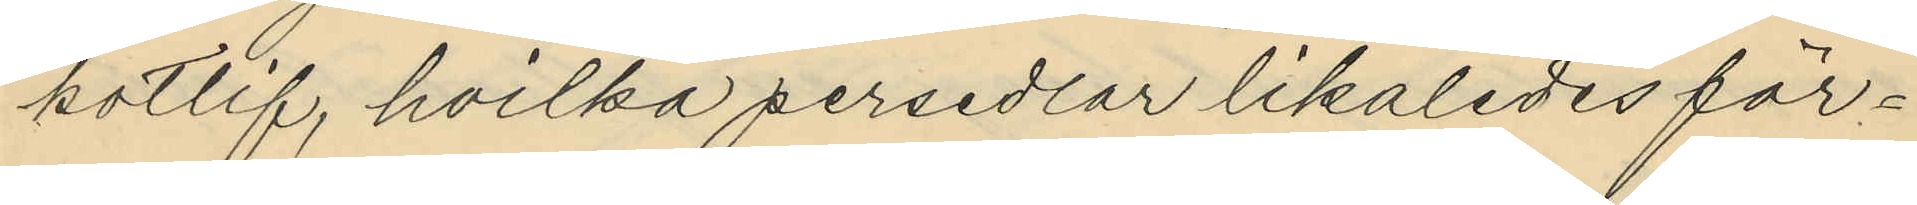kotlif, hvilka persedlar likaledes för¬
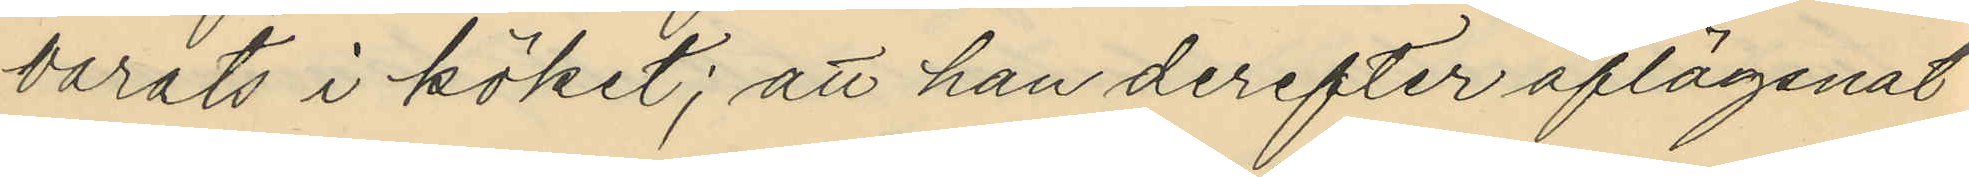varats i köket; att han derefter aflägsnat
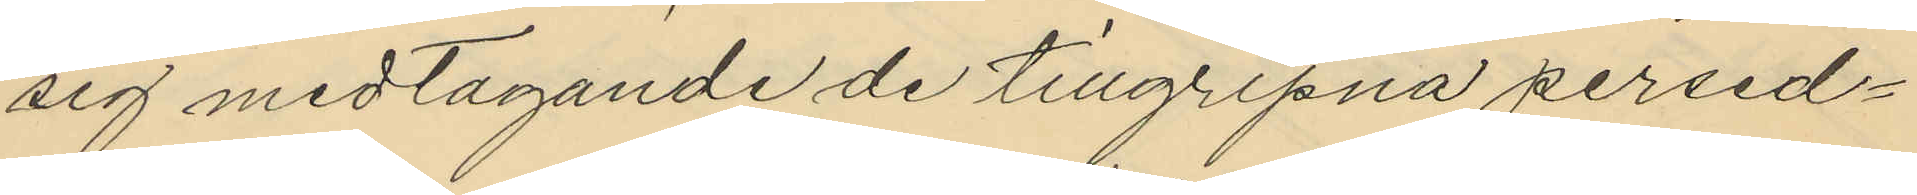sig medtagande de tillgripna persed¬
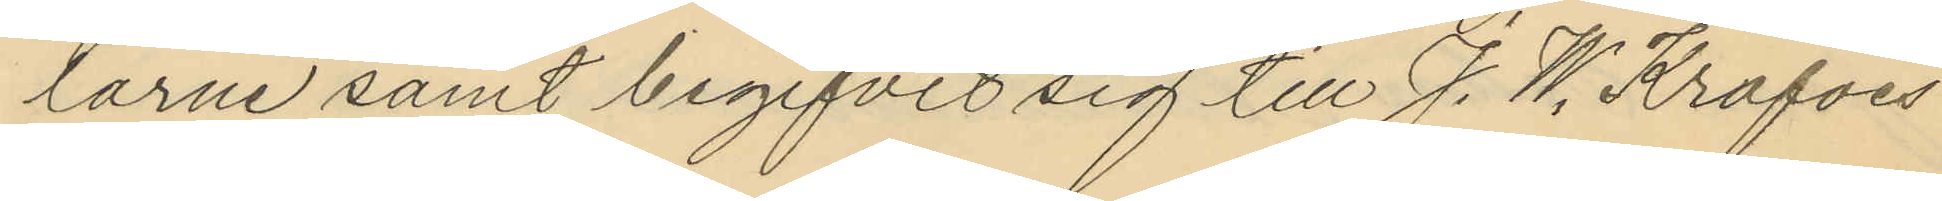larne samt begifvit sig till J. W. Krafves
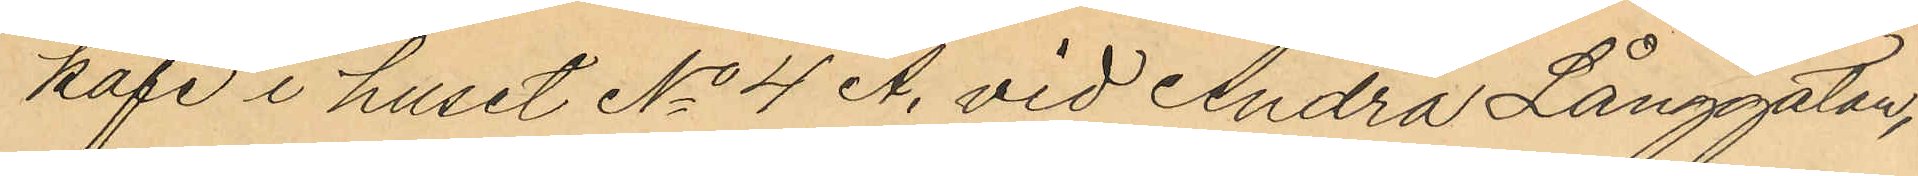kafé i huset No 4 A. vid Andra Långggatan,
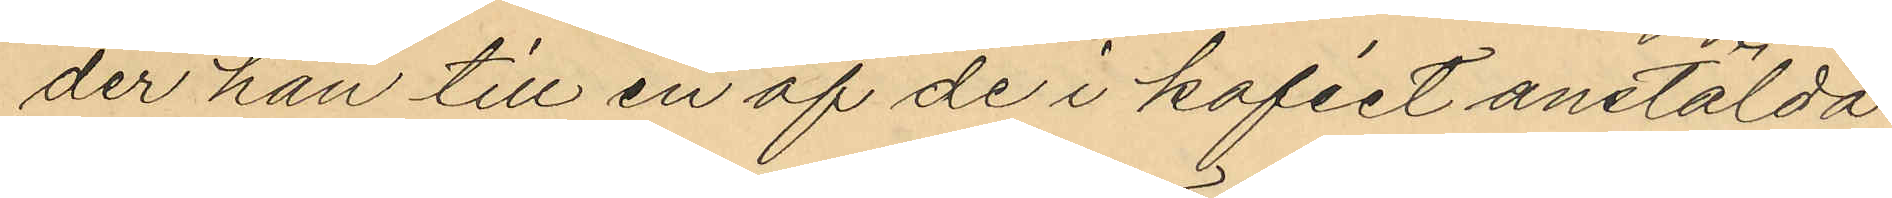der han till en af de i kaféet anstälda
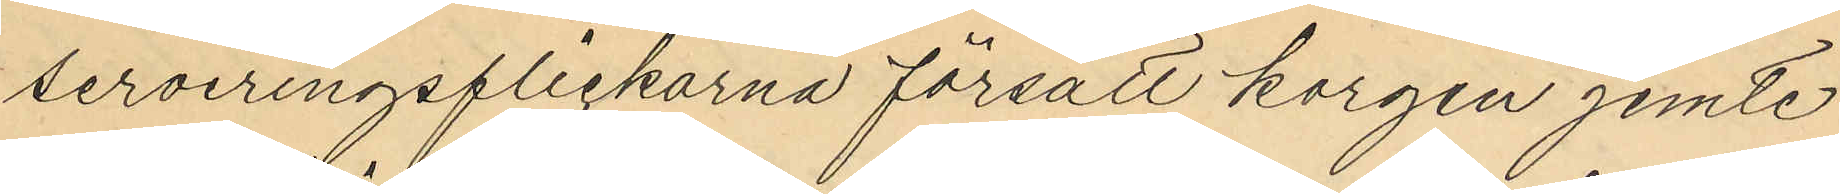serveringsflickorna försålt korgen jemte
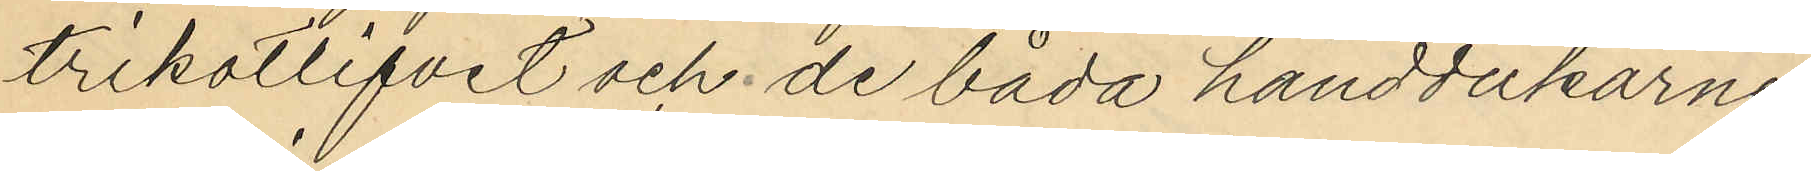trikotlifvet och de båda handdukarne
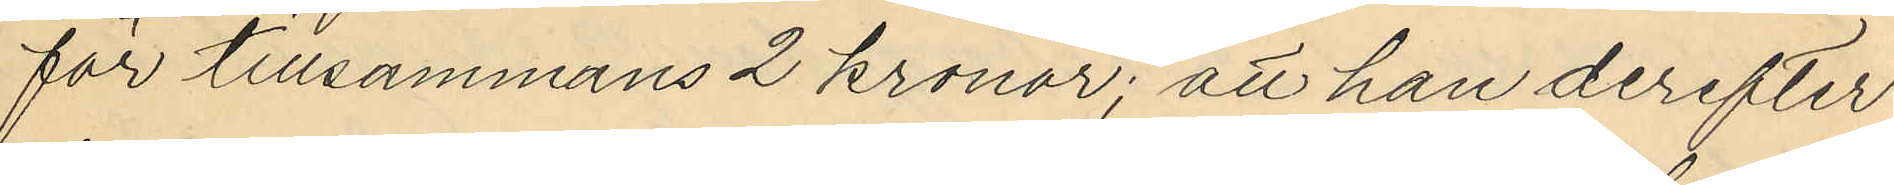för tillsammans 2 kronor; att han derefter
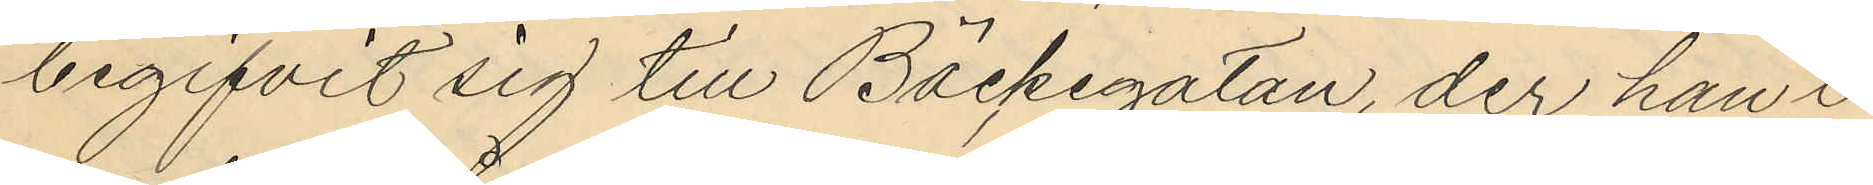begifvit sig till Bäckegatan, der han i
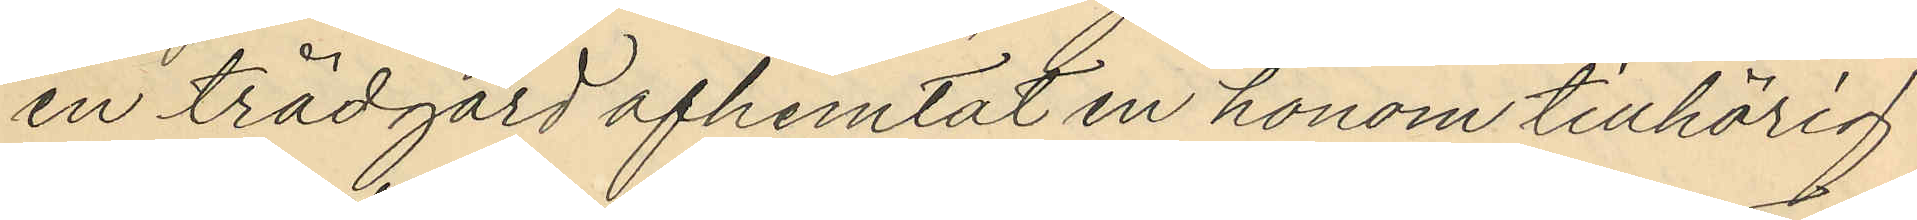en trädgård afhemtat en honom tillhörig
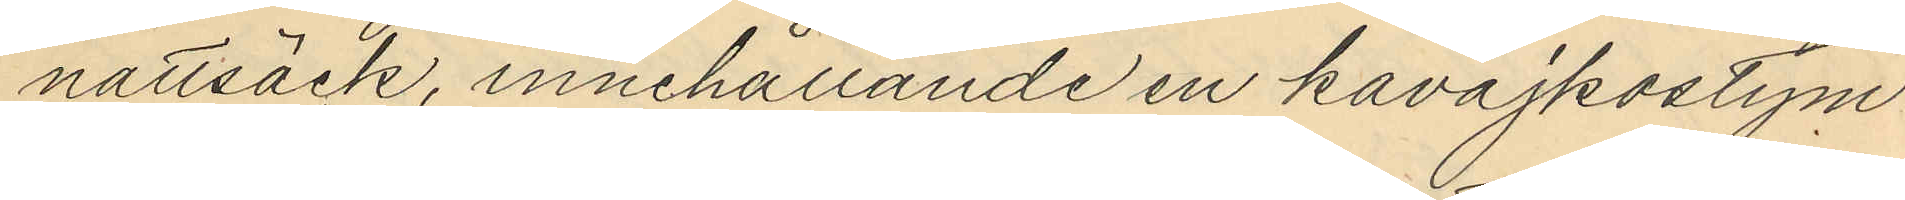nattsäck, innehållande en kavajkostym
